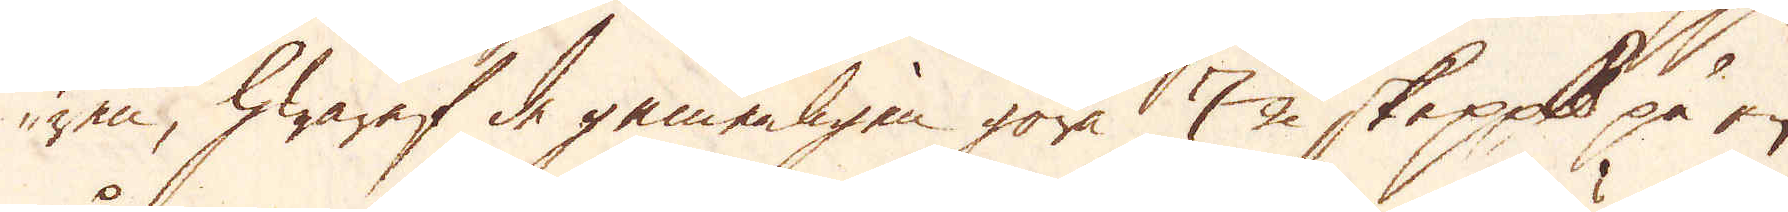ren, hwaraf de gemenligen göra 7 1/2 skeppund på en
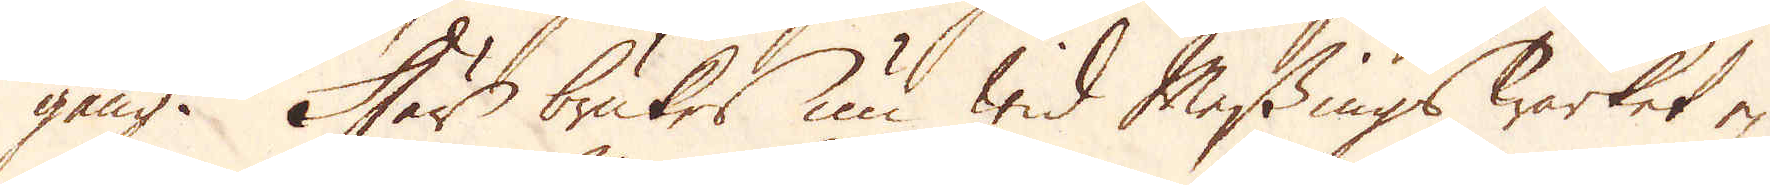gång. Här brukes nu wid Messings Wärket ej
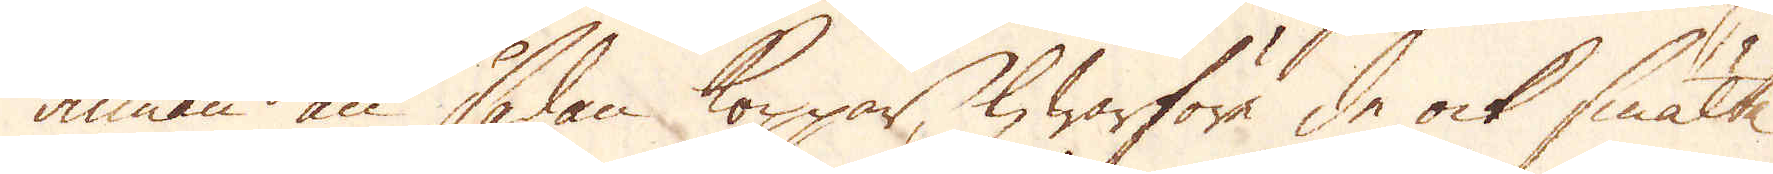annan än sådan koppar, hwarföre de ock smälte
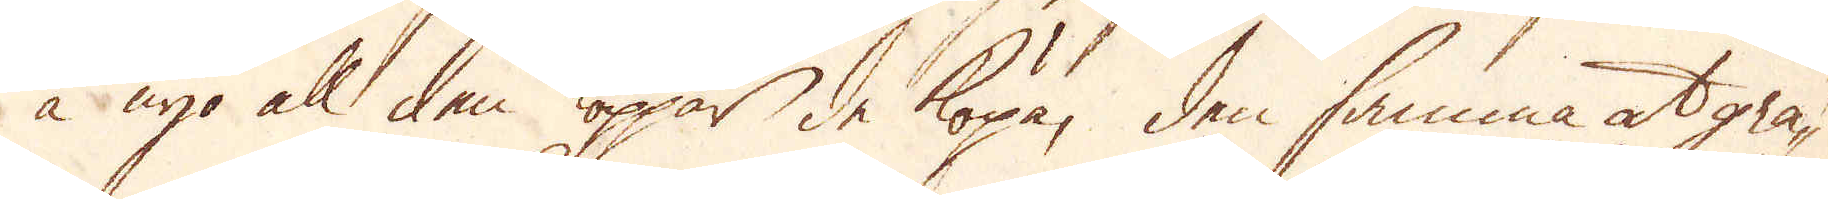å nyo all den koppar de köpa, den samma at gra-
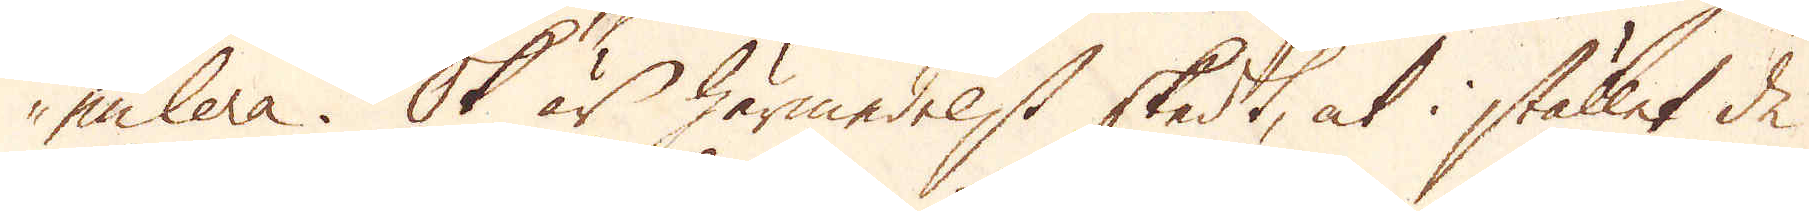nulera. Ok är härmedelst skedt, at i stället de
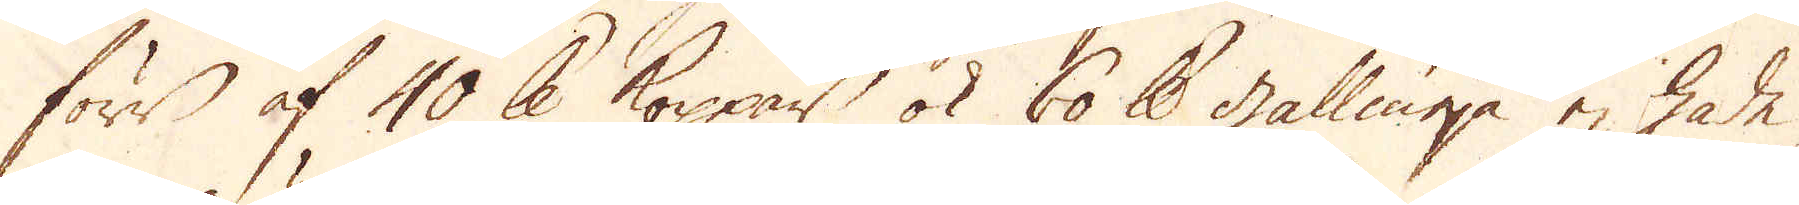förr af 40 skålpund koppar ok 60 skålpund gallmeja ej hade
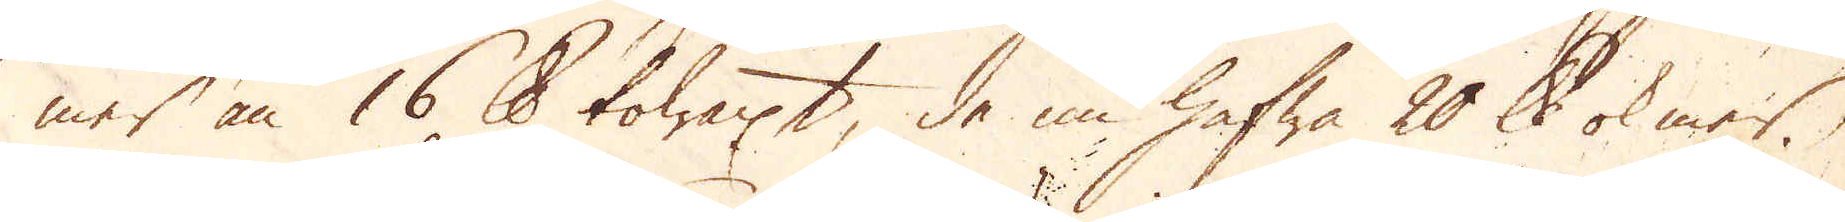mer än 16 skålpund towaxt, de nu hafwa 20 skålpund ok mer.
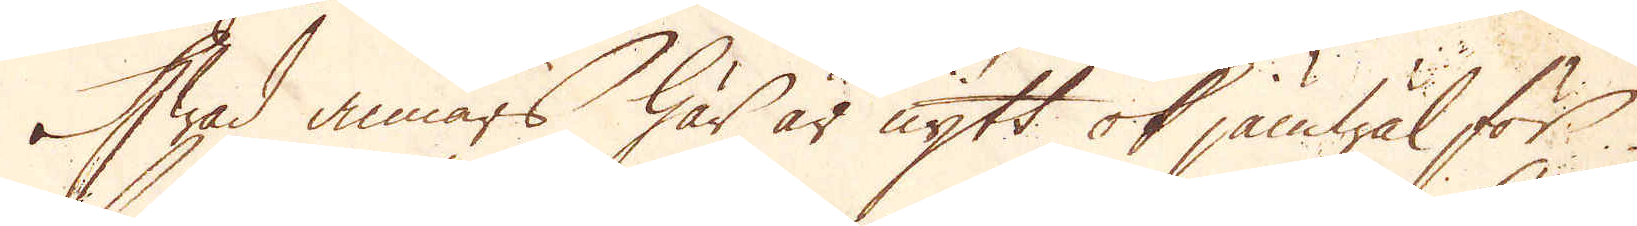Hwad annars här är nytt ok jämwäl för
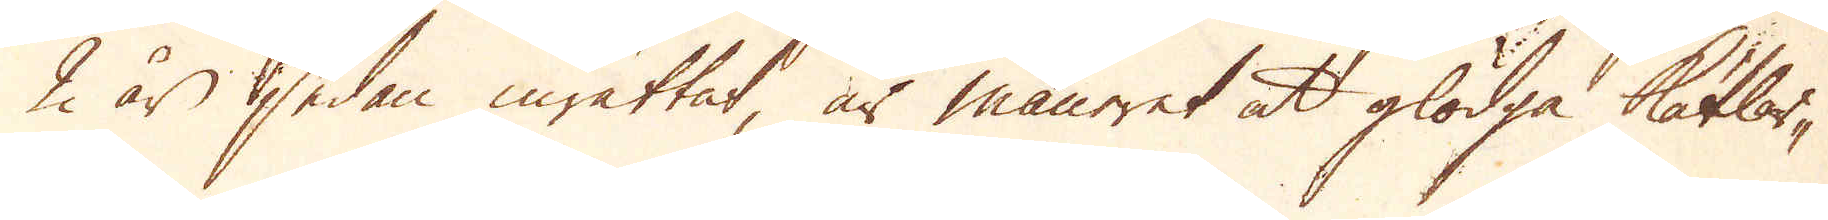2 år sedan inrättat, är maneret at glödga Kätlar-
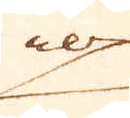na
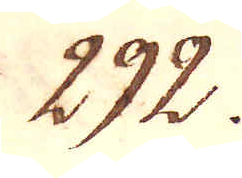292.
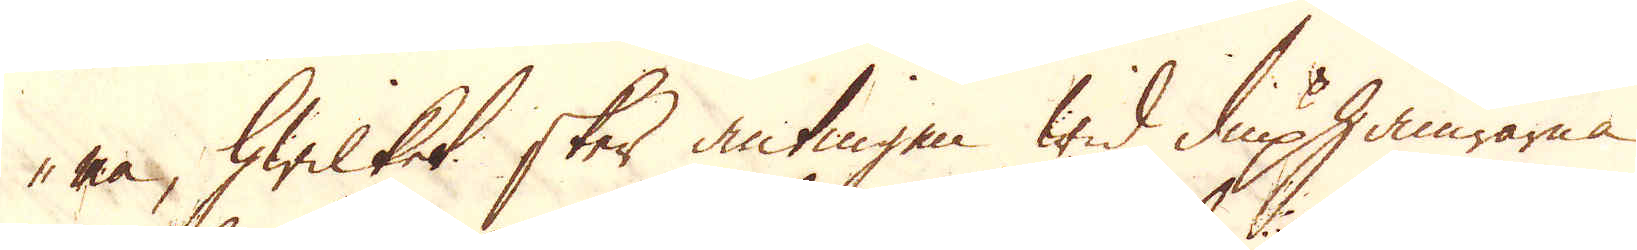na, hwilket sker antingen wid diuphamrarna
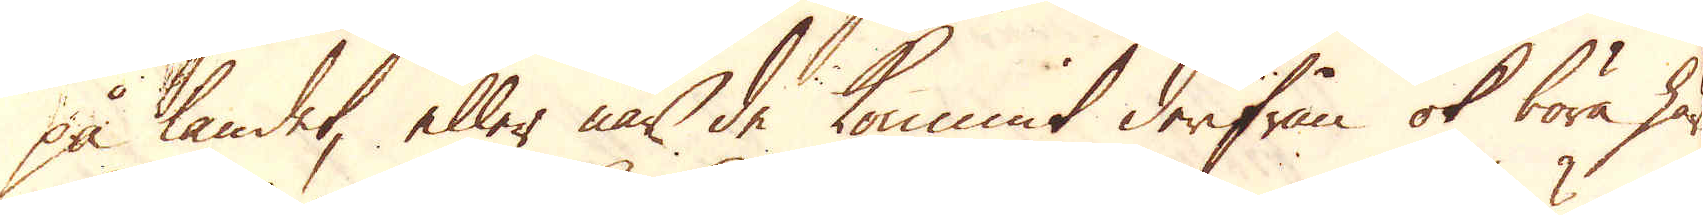på landet, eller när de kommit derifrån ok böra här
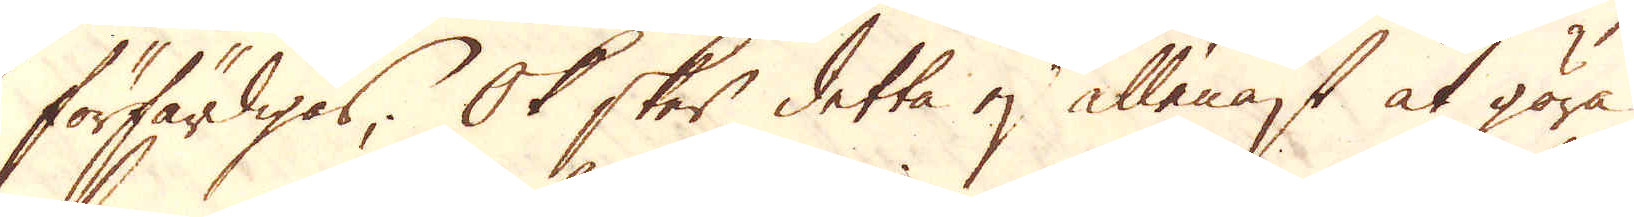förfärdigas; Ok sker detta ej allenast at göra
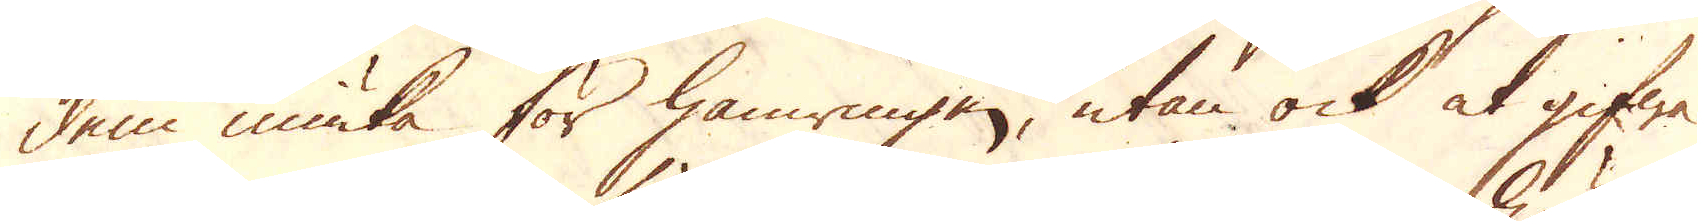dem miuka för hamringen, utan ock at gifwa
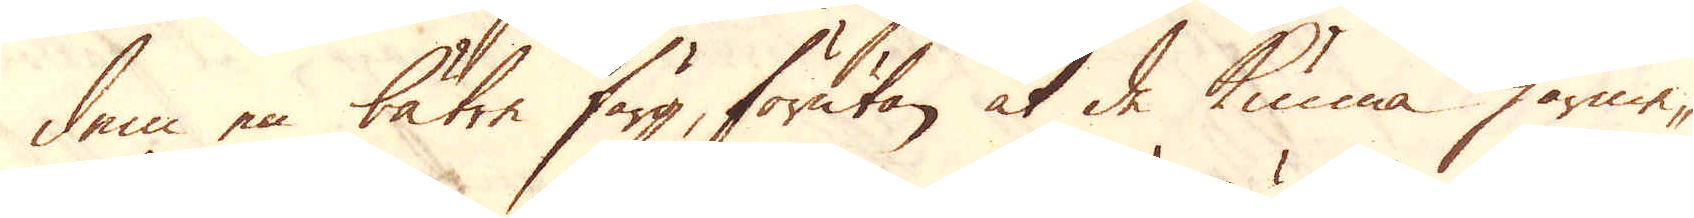dem en bätre färg, förutan at de kunna härme-
